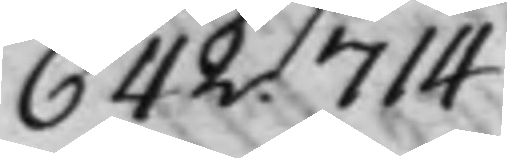642. 714
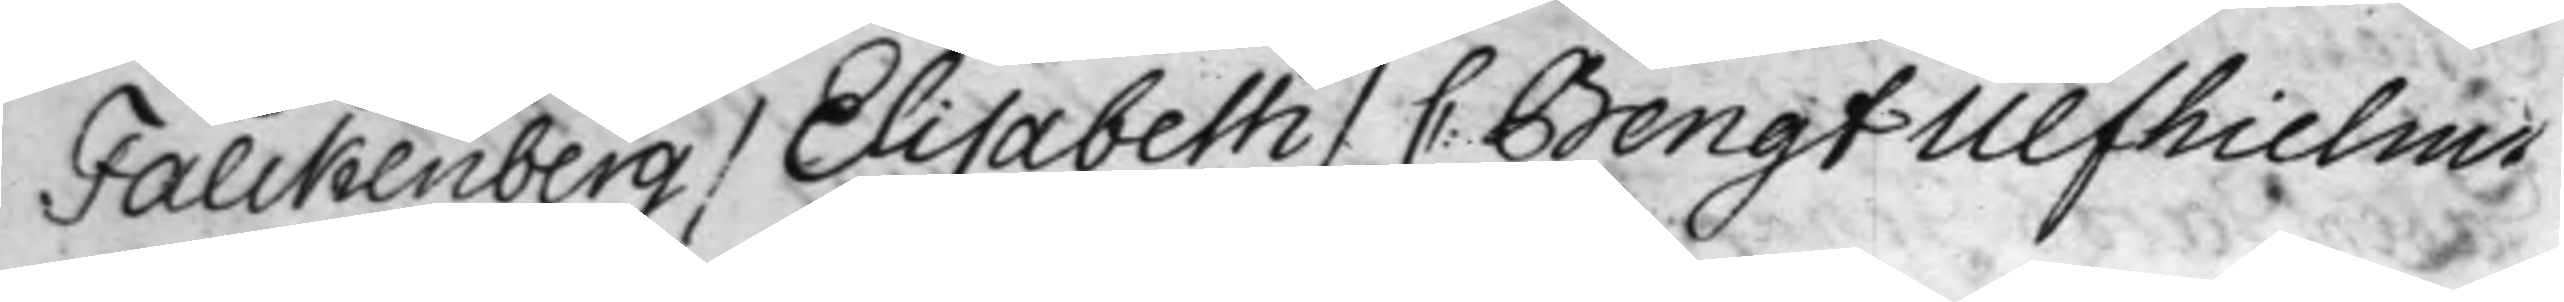Falckenberg / Elisabeth / C: Bengt Ulfhielms
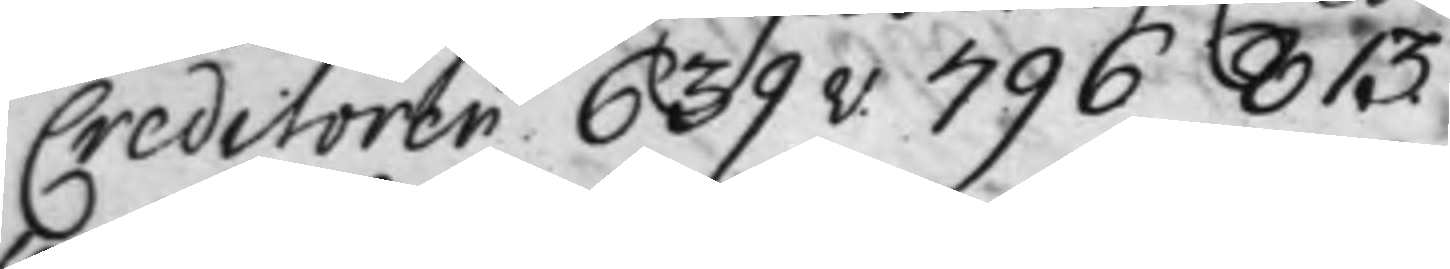Creditorer 639v. 796 813.
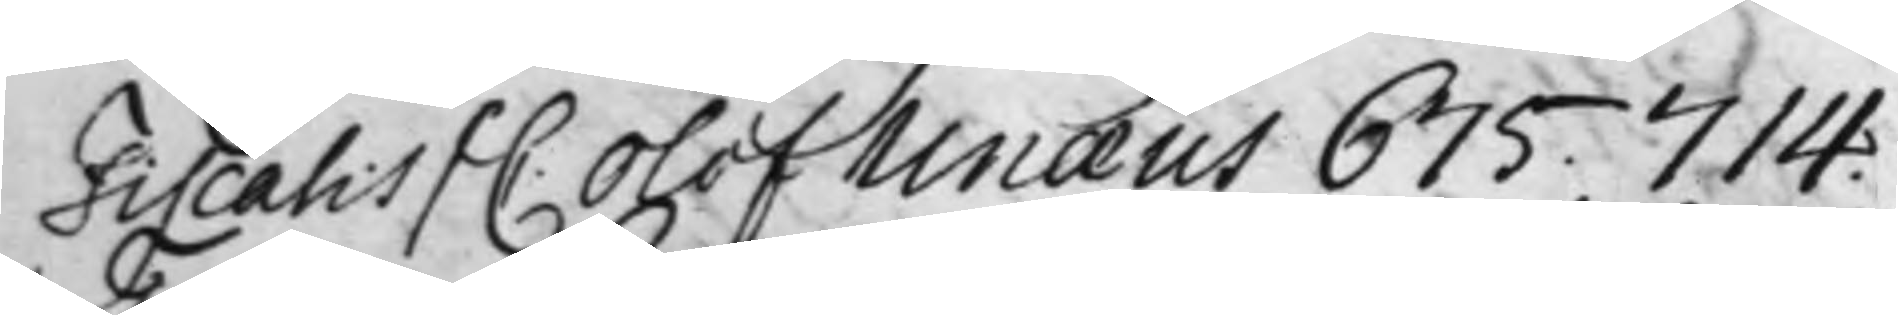Fiscalis / C. Olof Unæus 675. 714.
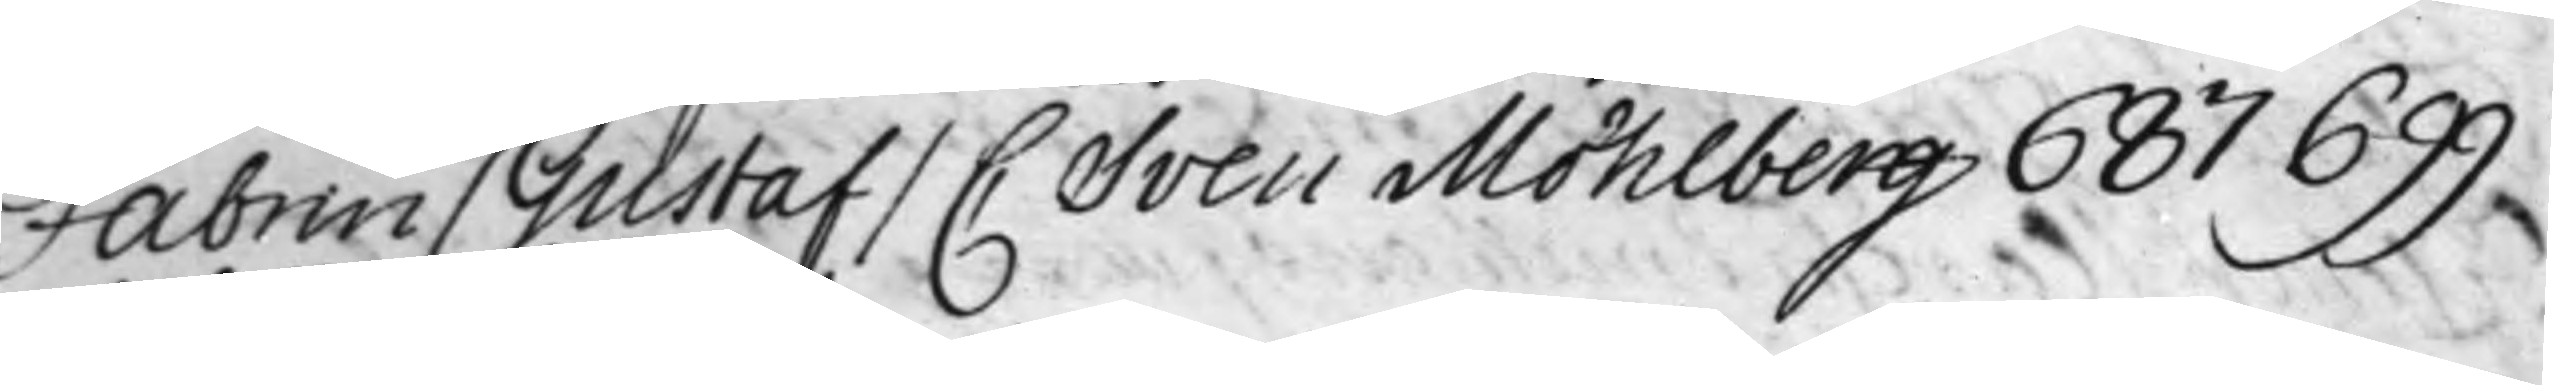Fabrin / Gustaf / C Sven Möhlberg 687 699
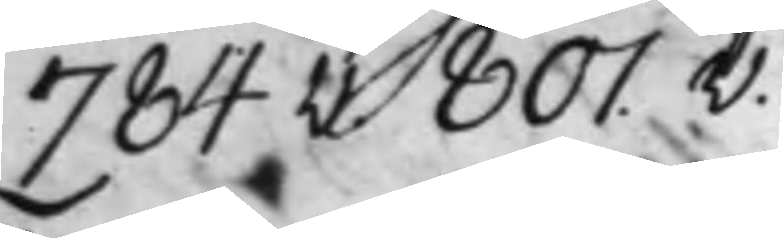784v. 801.v.
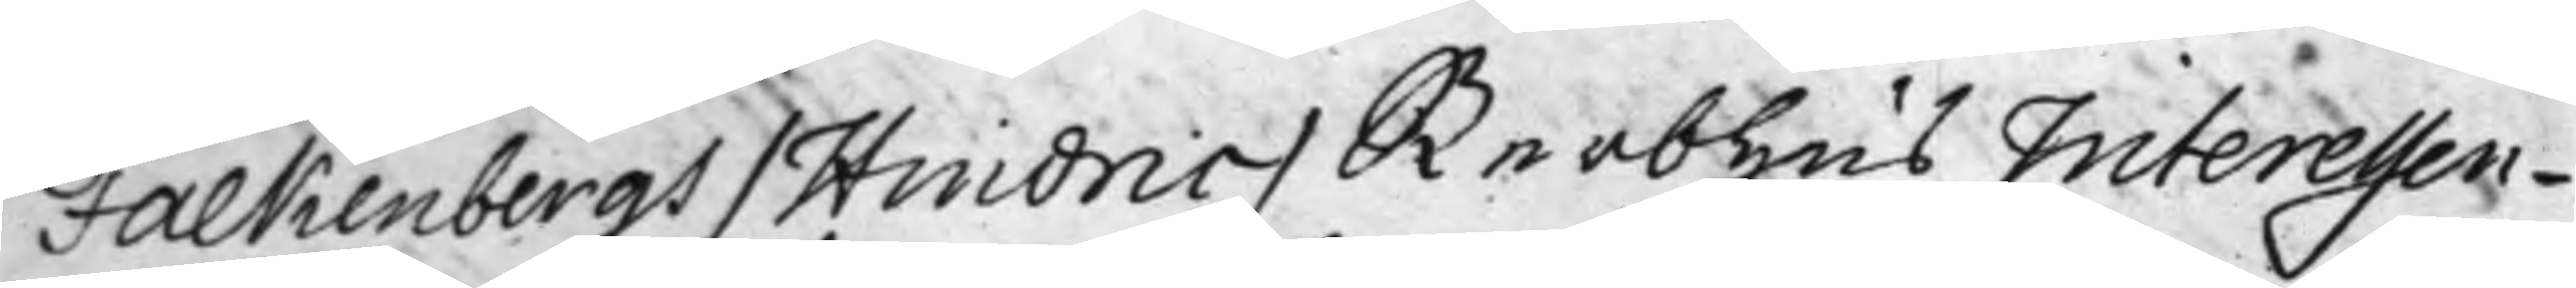Falkenbergs / Hindric / Sterbhus Interessen¬
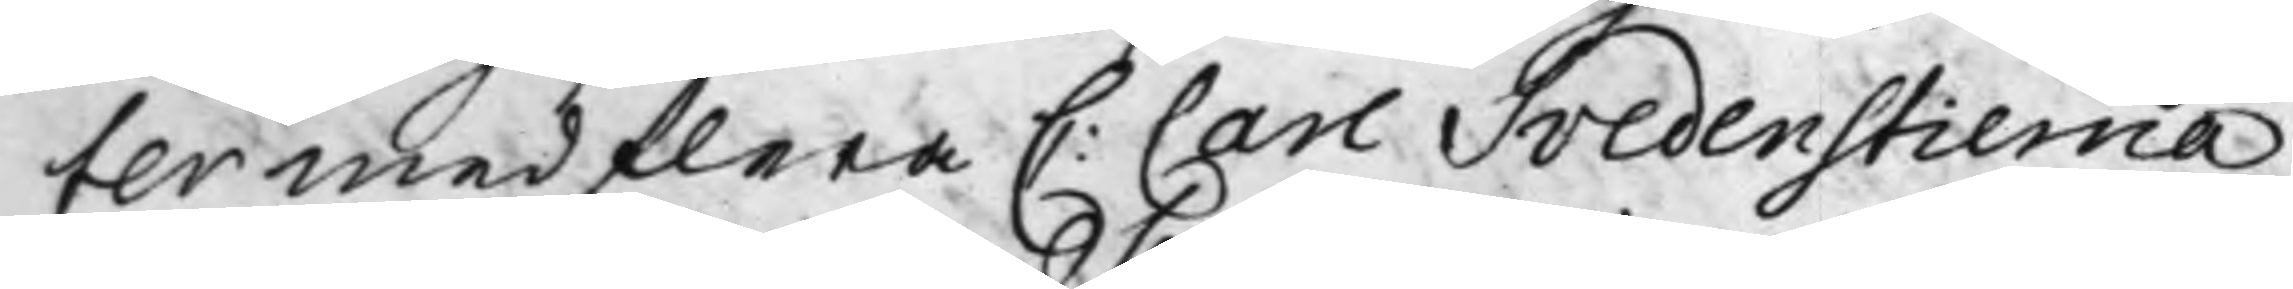ter med flera C: Carl Svedenstierna
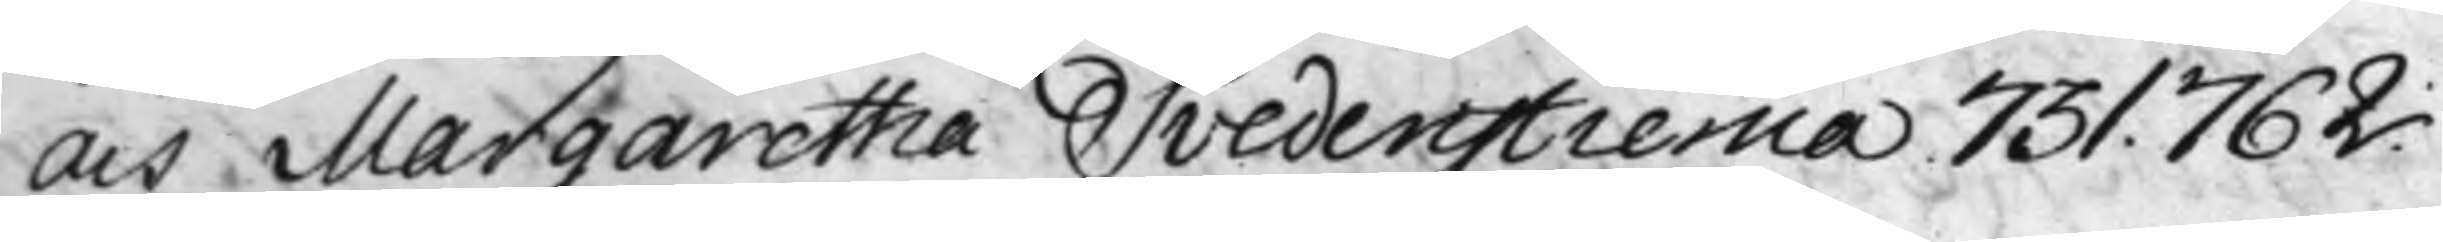och Margaretha Svedenstierna 731. 762.
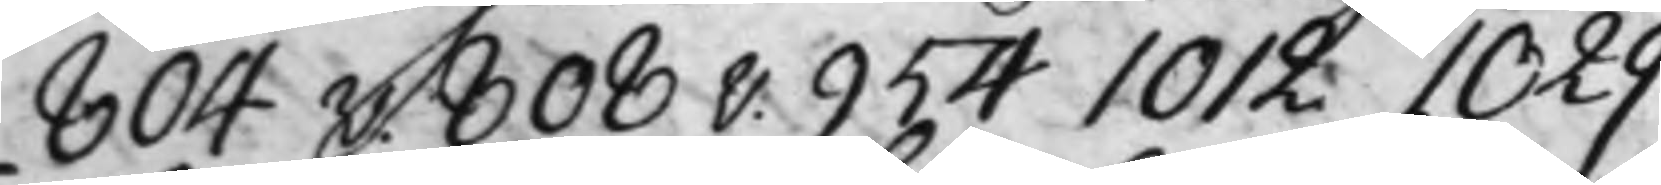804v. 808v. 954 1012 1029
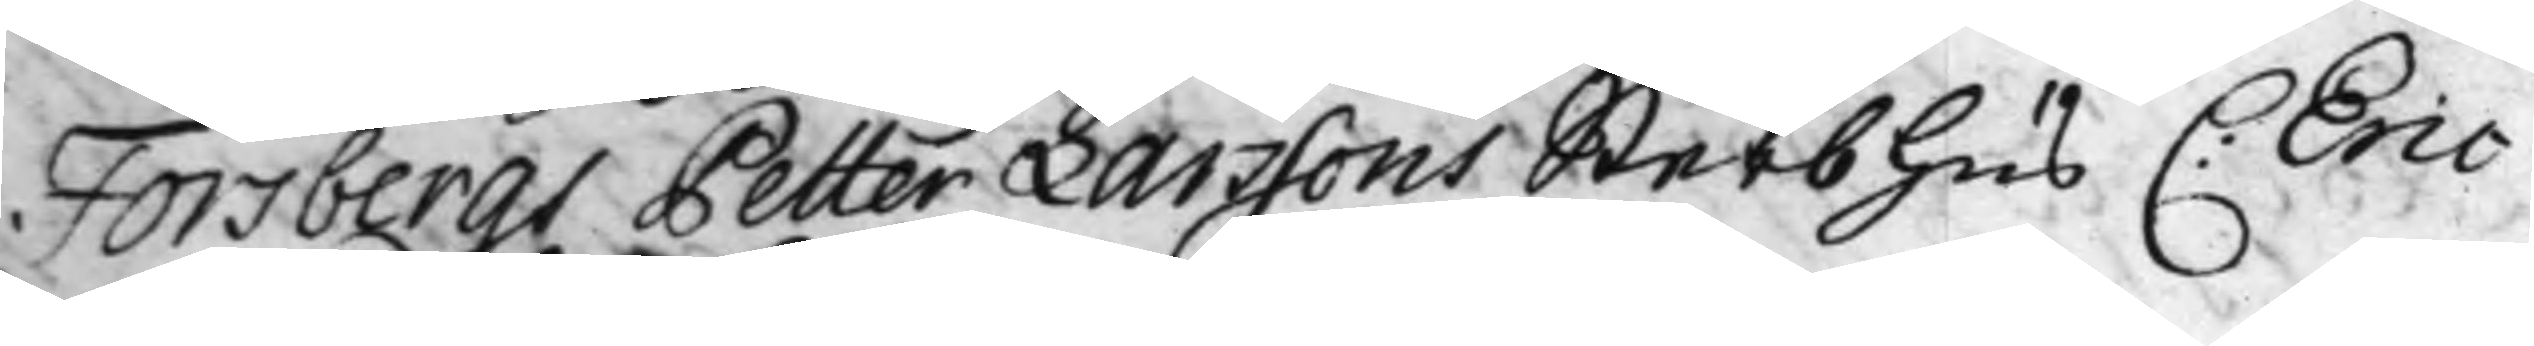Forsbergs Petter Larssons Sterbhus C: Eric
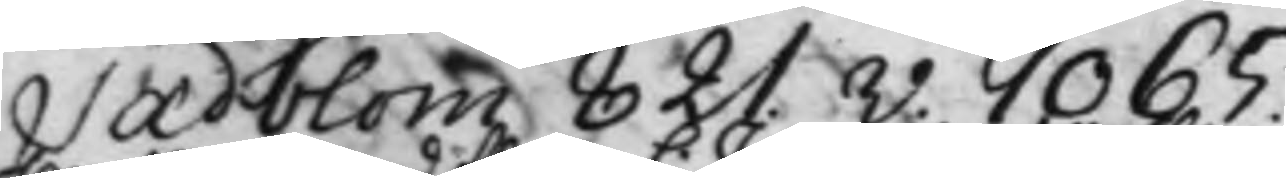Sædblom 821v. 1065.
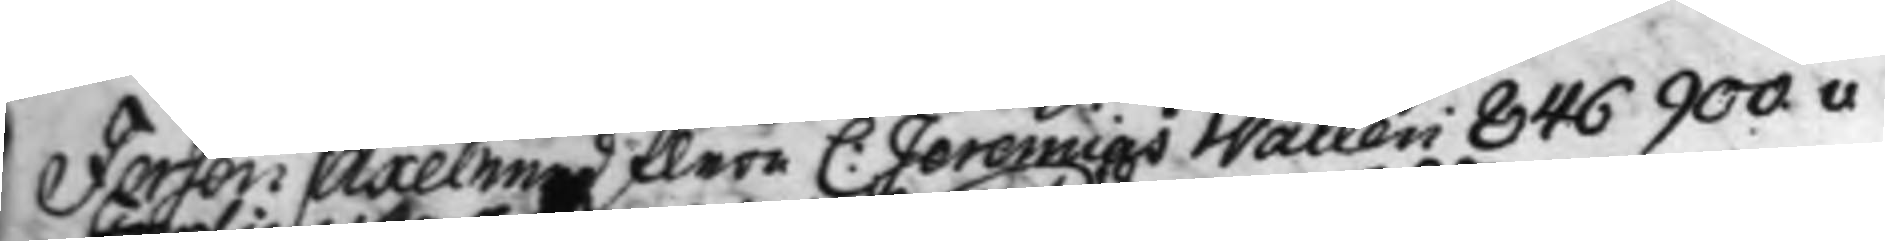Fersen / Axel med flera C: Jeremias Wallen 846 900v
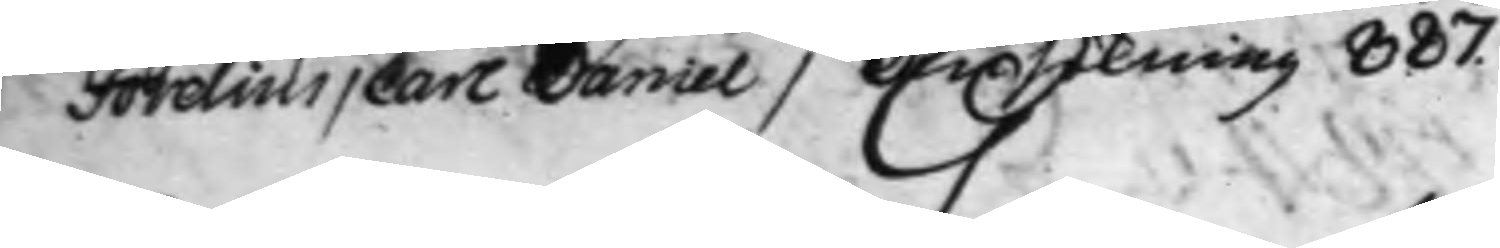Forelius / Carl Daniel / Ansökning 887.
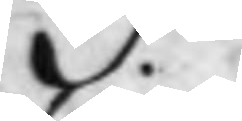G.
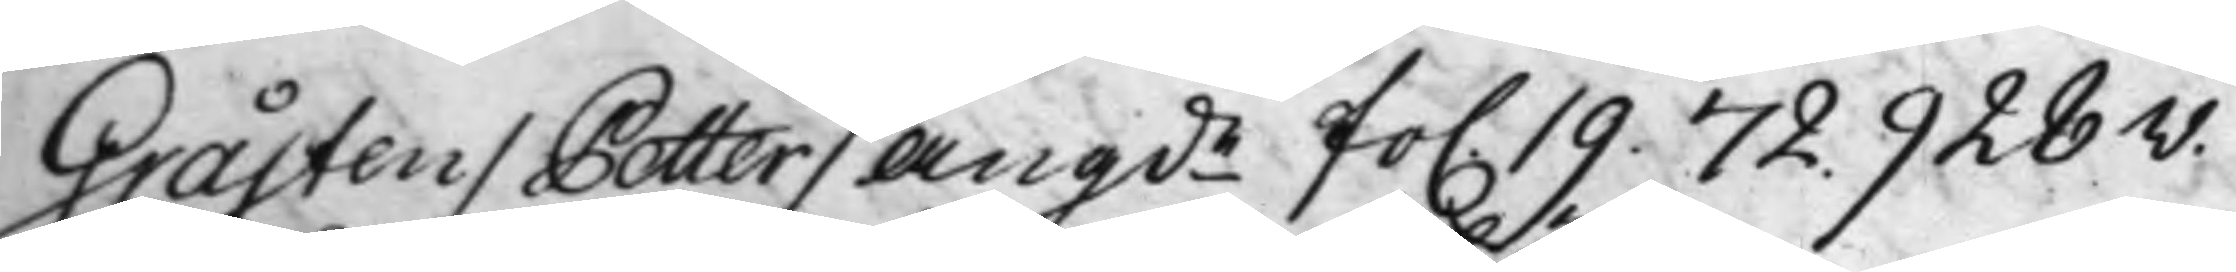Gråsten / Petter/ Angde fo. 19. 72. 928v.
